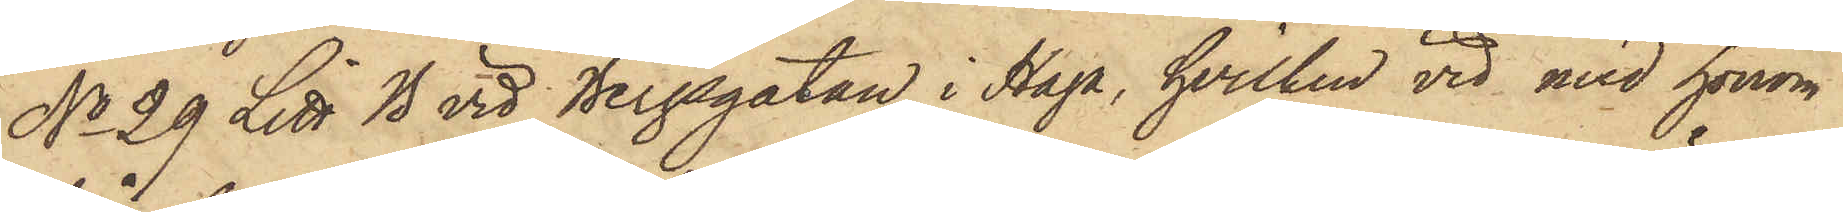No 29 Litt B vid Bergsgatan i Haga, hvilken vid med honom
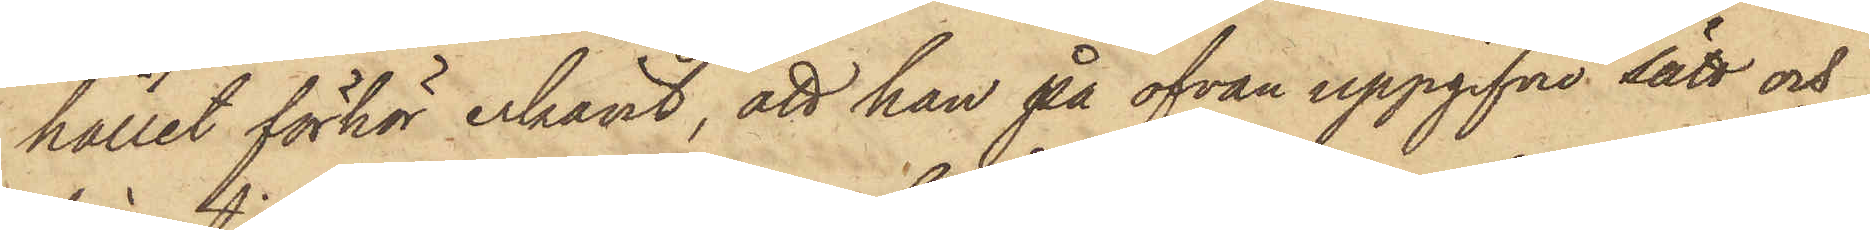hållet förhör erkänt, att han på ofvan uppgifne sätt och
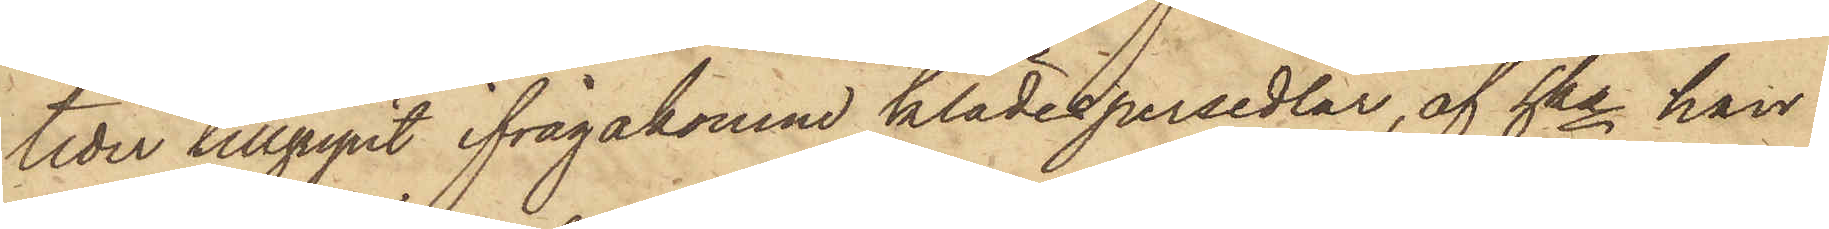tider tillgripit ifrågakomne klädespersedlar, af hka han
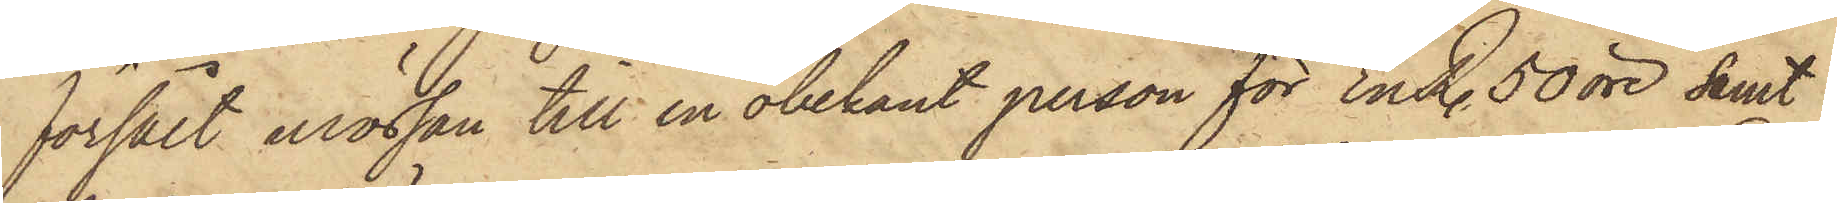försålt mössan till en obekant person för En R. 50 öre samt
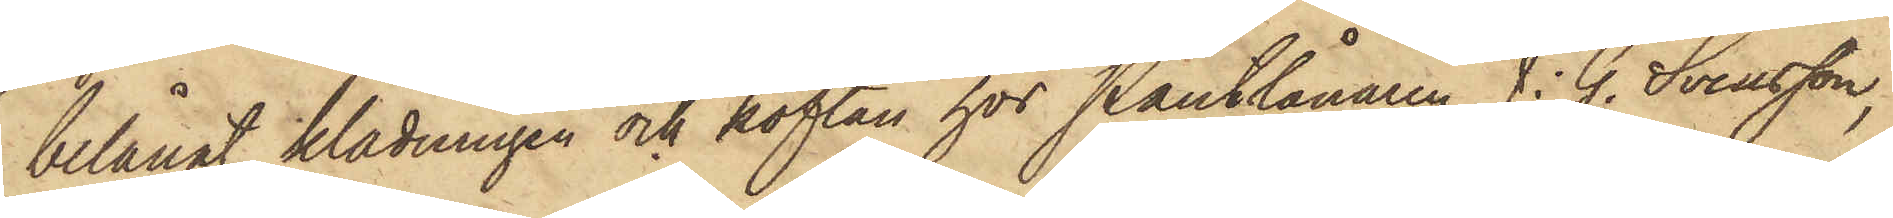belånat klädningen och koftan hos Pantlånaren J. G. Svensson,
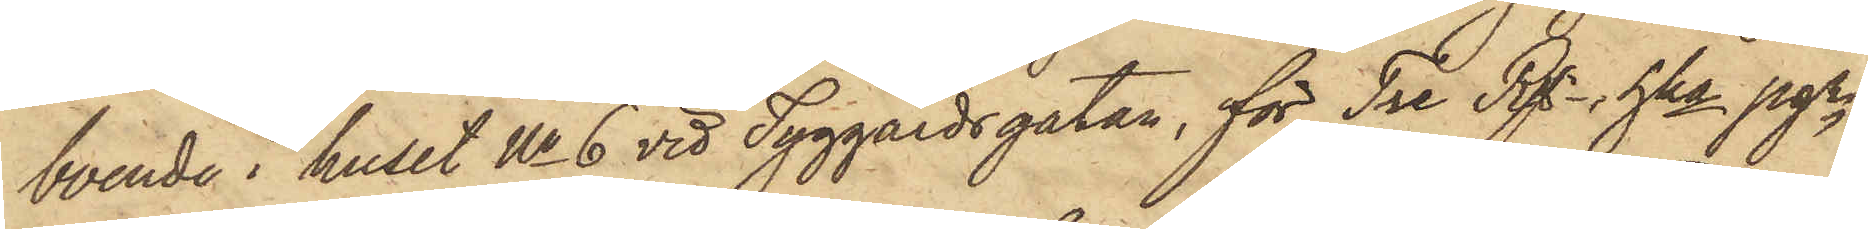boende i huset No 6 vid Tyggårdsgatan, för Tre Rgr, hka pgr
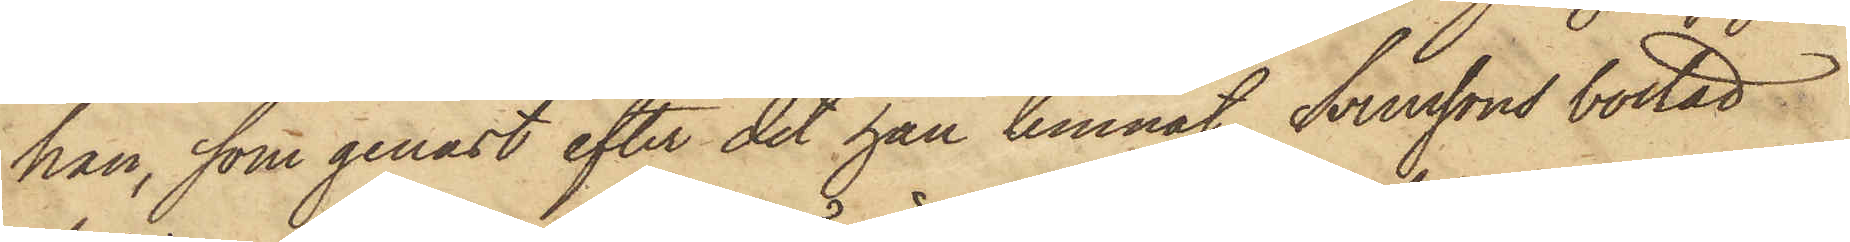han, som genast efter det han lemnat Svenssons bostad
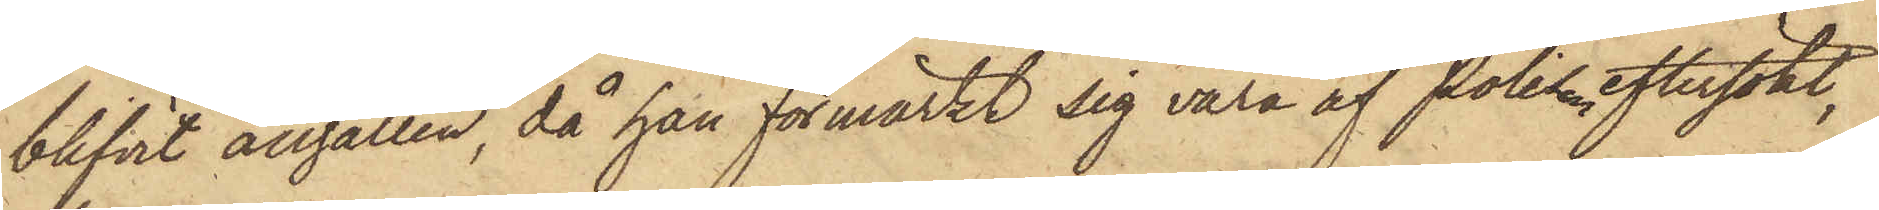blifvit anhållen, då han förmärkt sig vara af Polisen eftersökt,
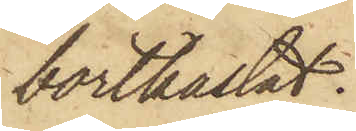bortkastat.
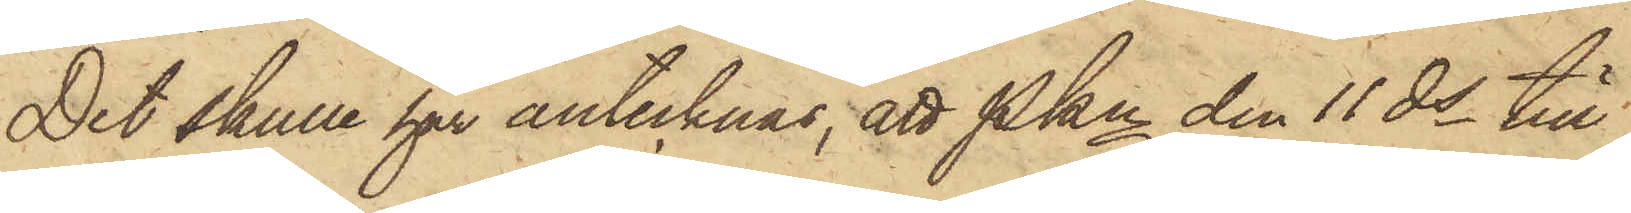Det skulle här antecknas, att Pkn den 11 ds till
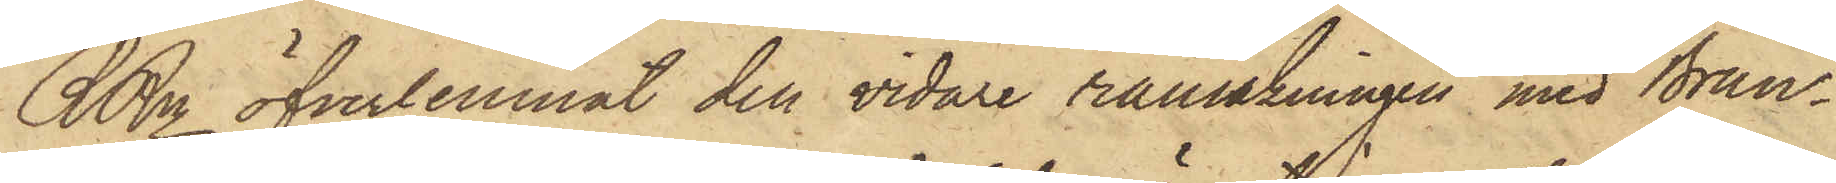RRn öfverlemnat den vidare ransakningen med Brun¬
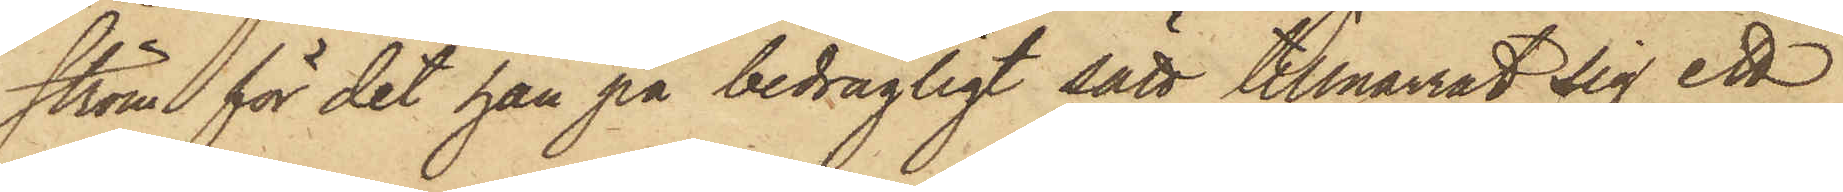ström för det han på bedrägligt sätt tillnarrat sig ett
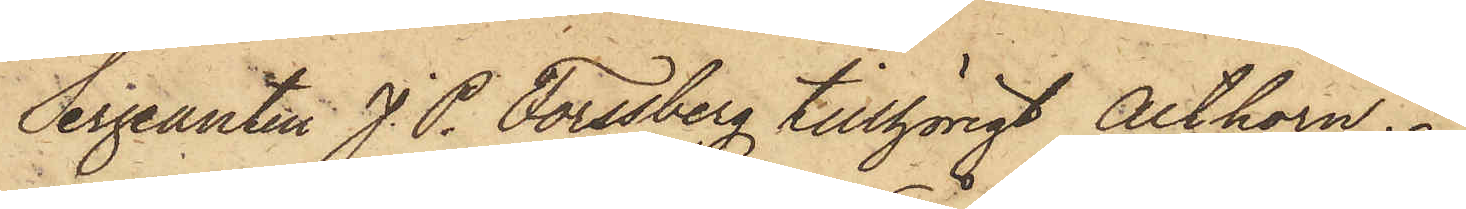Sergeanten J. P. Forssberg tillhörigt Althorn.
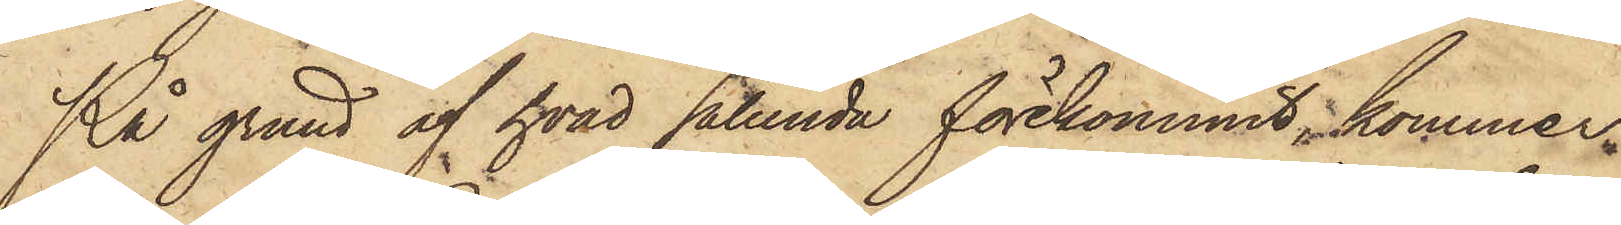På grund af hvad sålunda förekommit, kommer
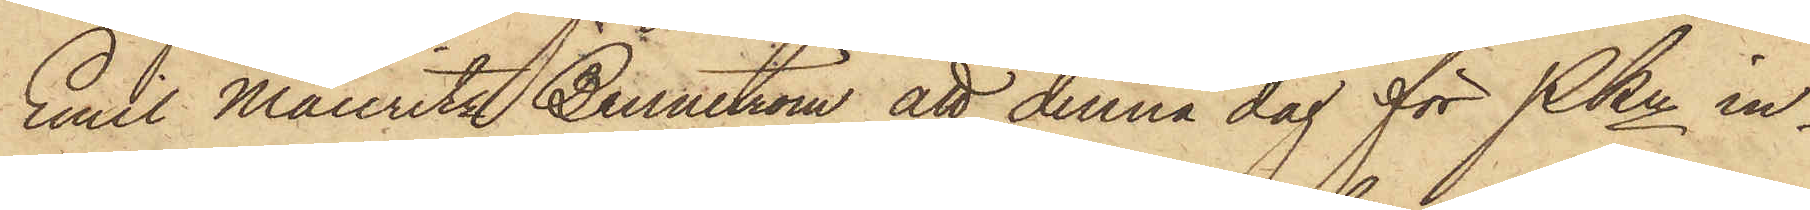Emil Mauritz Brunström att denna dag för PKn in¬
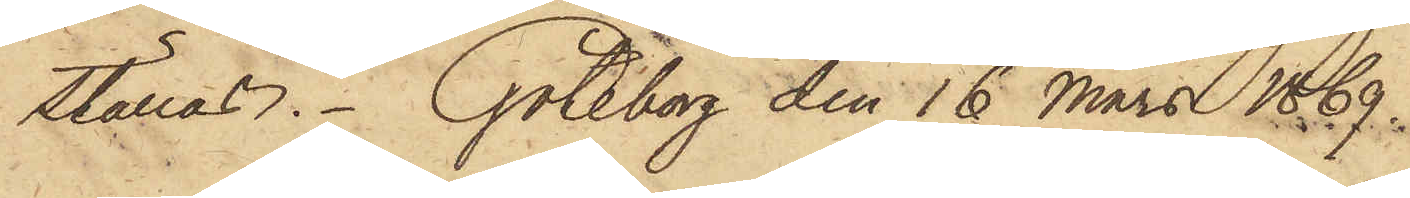ställas. Göteborg den 16 Mars 1869.
